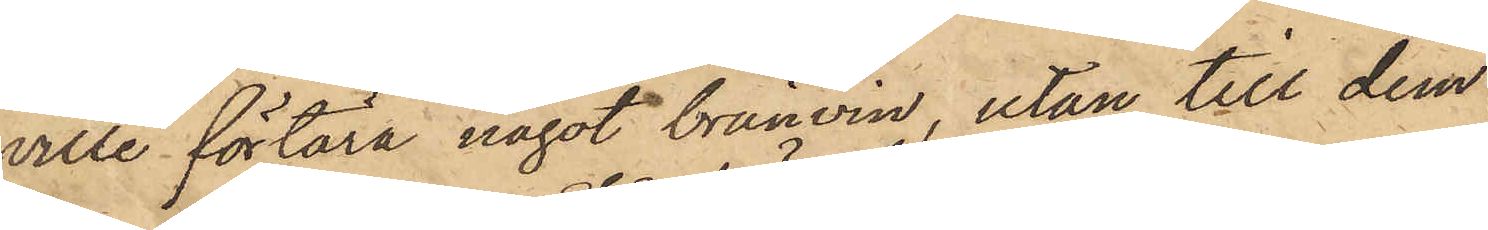ville förtära något brännvin, utan till dem
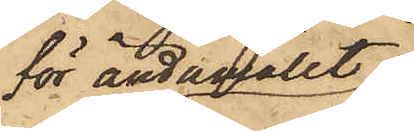för ändamålet
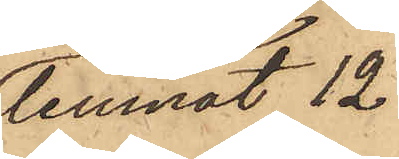lemnat 12
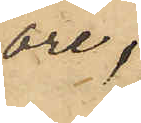öre,
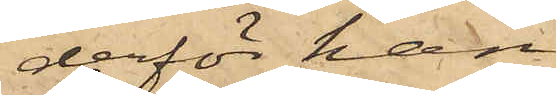derför han
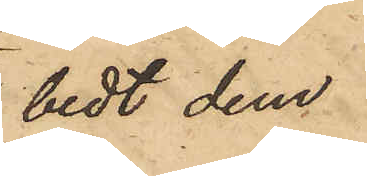bedt dem
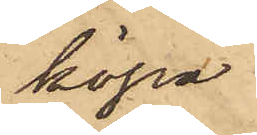köpa
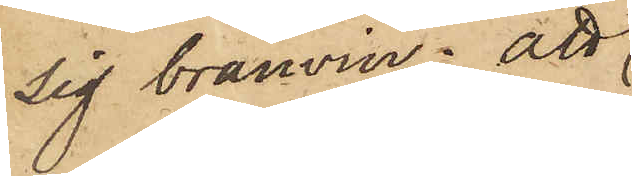sig bränvin; att
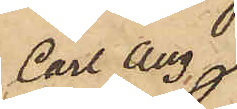Carl Aug
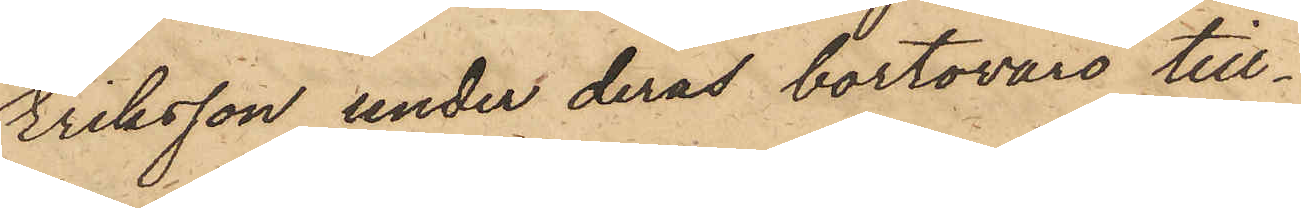Eriksson under deras bortovaro till¬
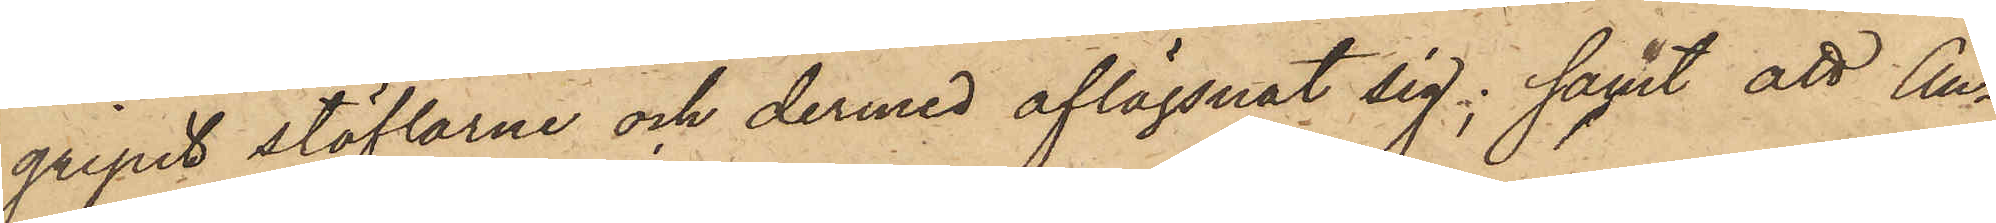gripit stöflarne och dermed aflägsnat sig; samt att An¬
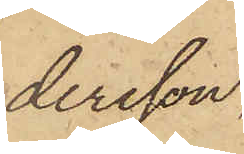dersson,
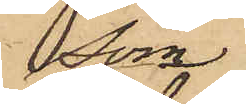som
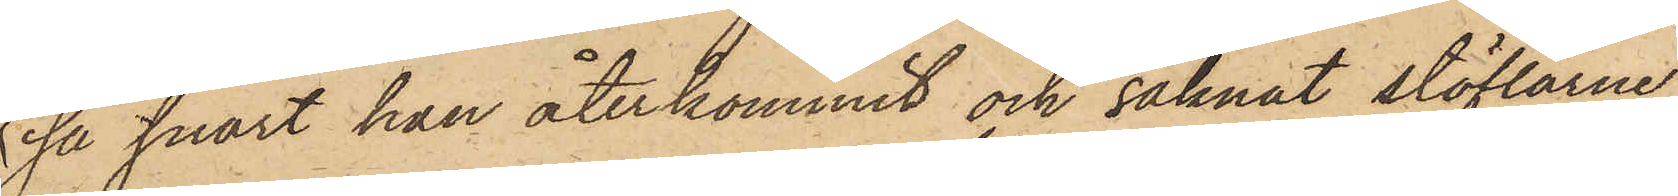så snart han återkommit och saknat stöflarne,
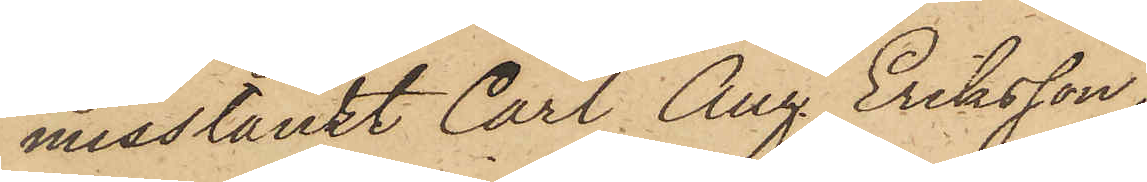misstänkt Carl Aug. Eriksson,
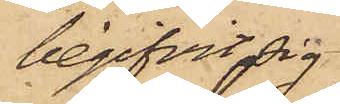begifvit sig
